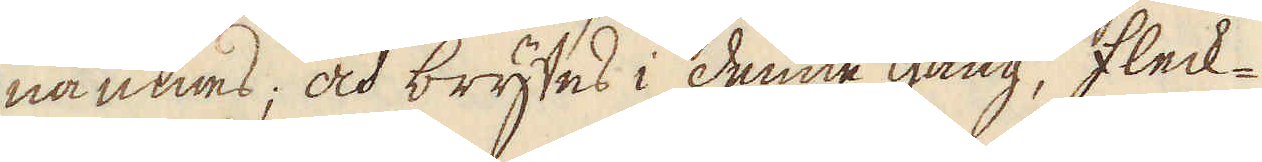nämnes; och brytes i denne gång, fleck-
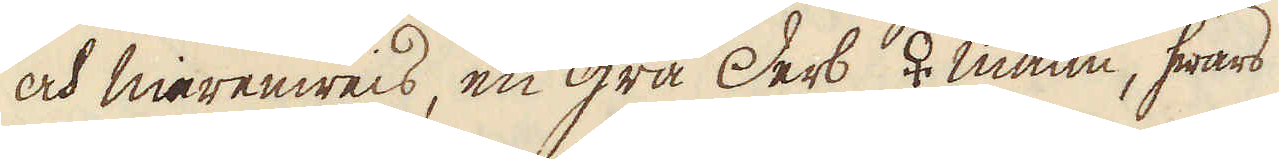och merenweis, en grå Derb ♀ malm, hwars
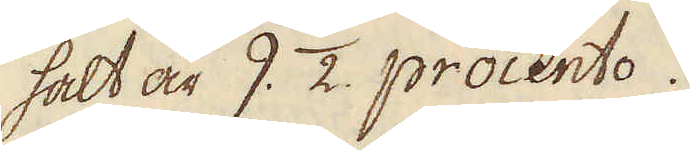halt är 9. 1/2. procento.
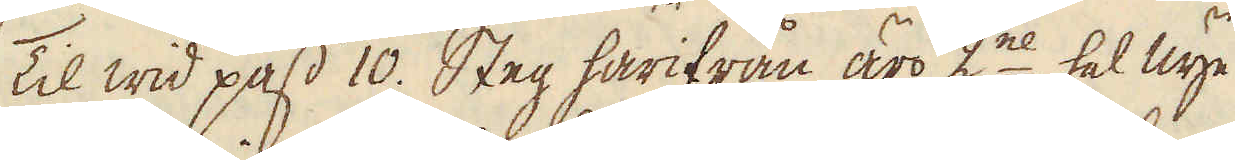Til wid pass 10. Steg härifrån äro 2ne hel nye
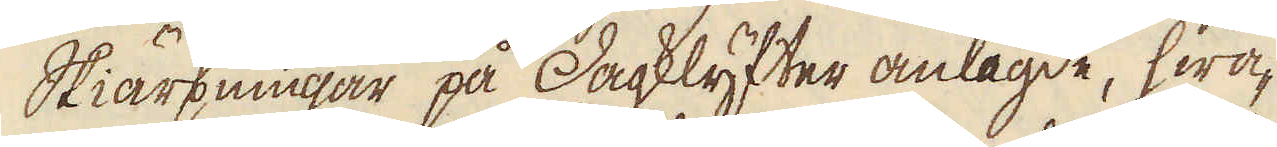Skiärpningar på Dagklyfter anlagde, hwa-
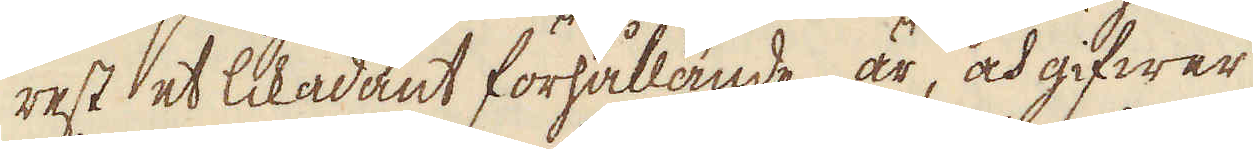rest et likadant förhållande är, och gifwer
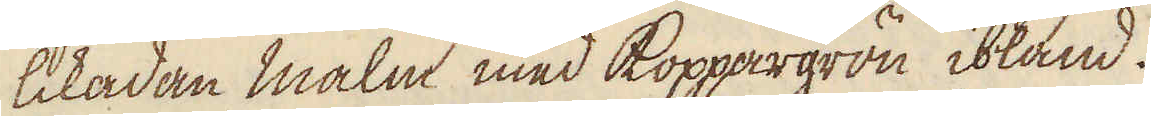likadan malm med koppargrön ibland.
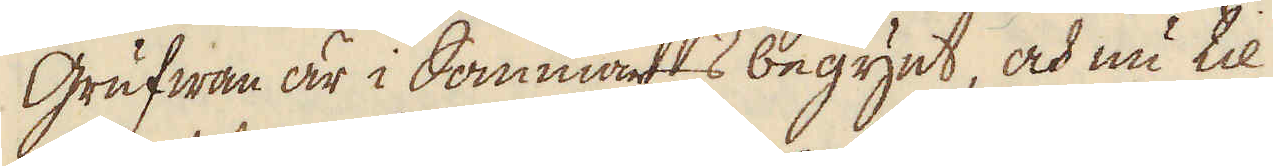Grufwan är i sommars begynt, och nu til
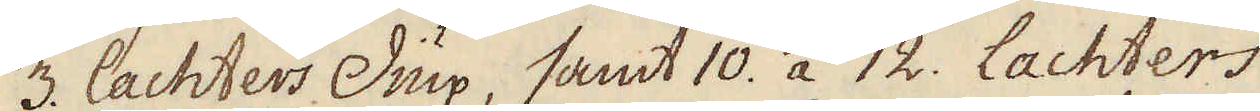3. lachters Diup, samt 10. a 12. Lachters,
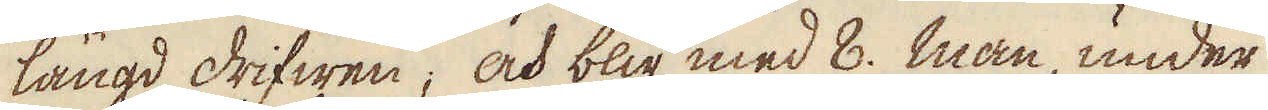längd drifwen; och blir med 8. man, under
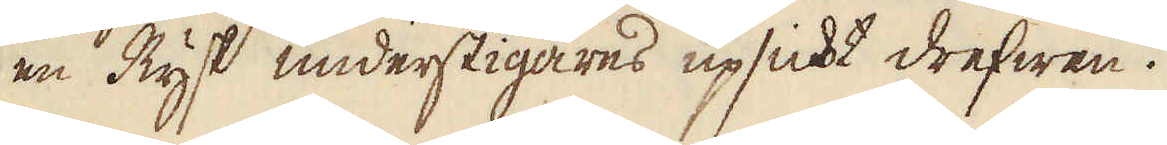en Rysk understigares upsicht drefwen.
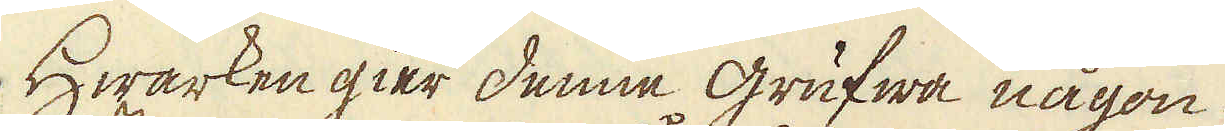Hwarken gier denne grufwa någon
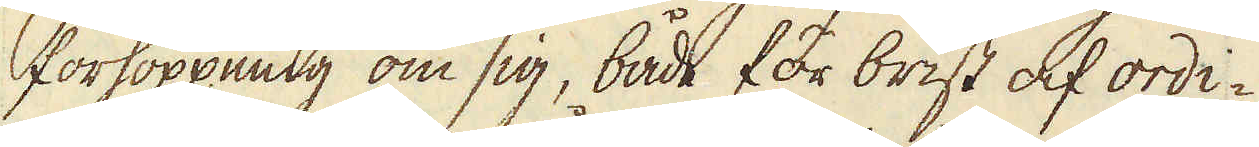förhoppning om sig, både för brist af ordi-
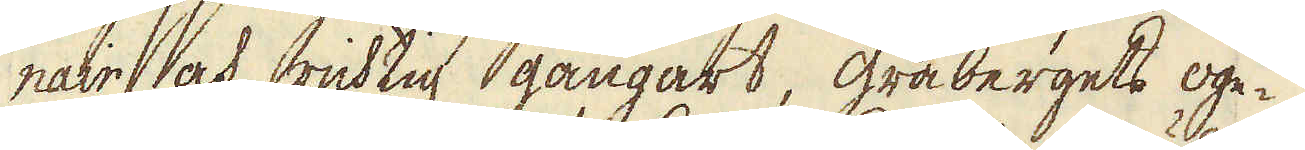nair och richtig gångart, gråbergets oge-
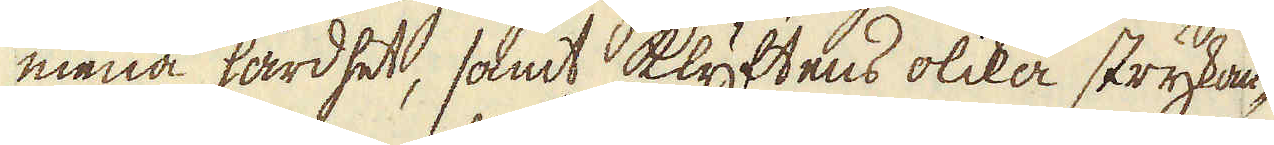mena hårdhet, samt klyftens olika strykan-
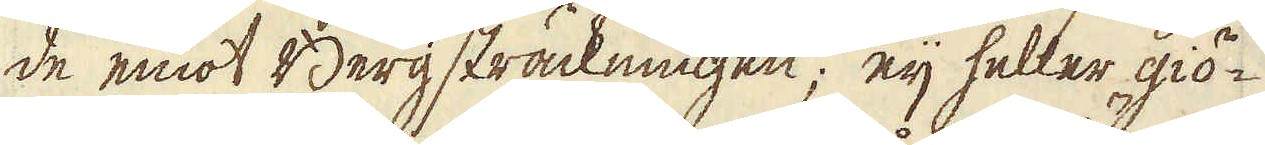de emot Berg sträckningen; eij heller giö-
